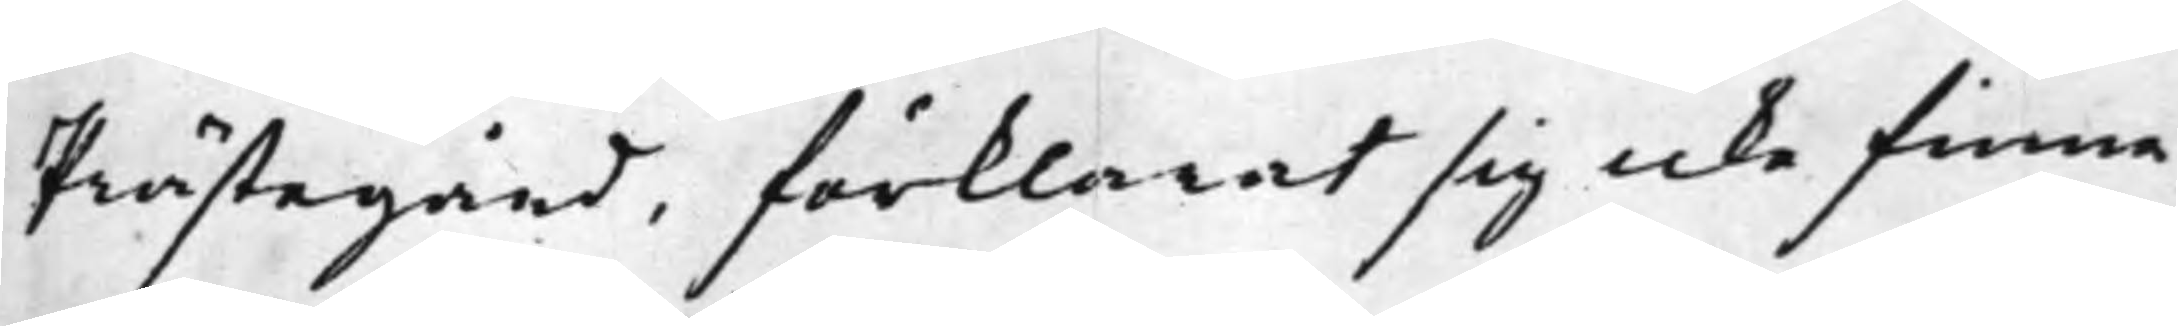Prästegård, förklarat sig icke finna,
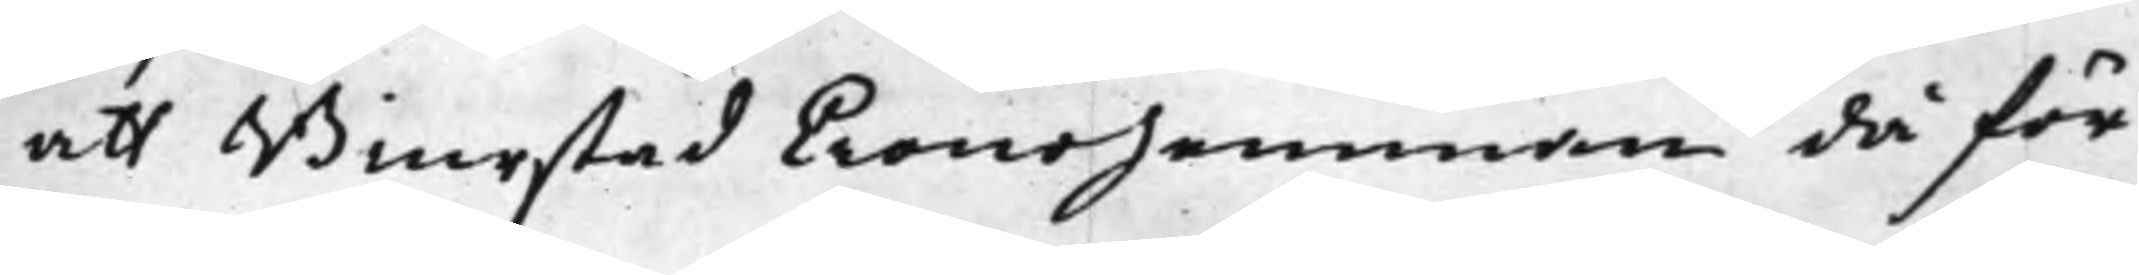att Biurstad Cronohemman då för
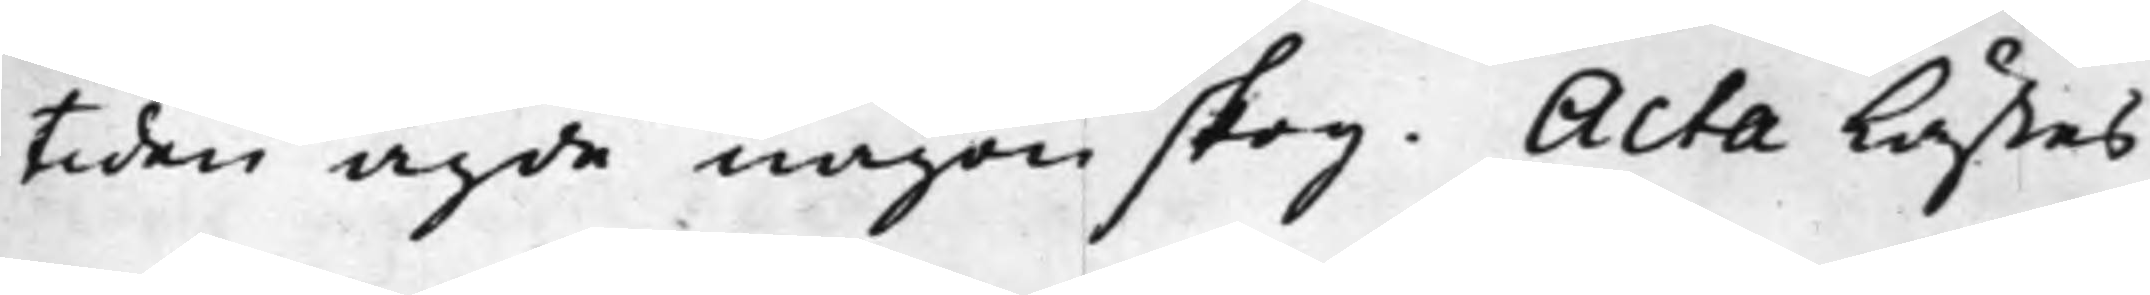tiden ägde någon skog. Acta lästes
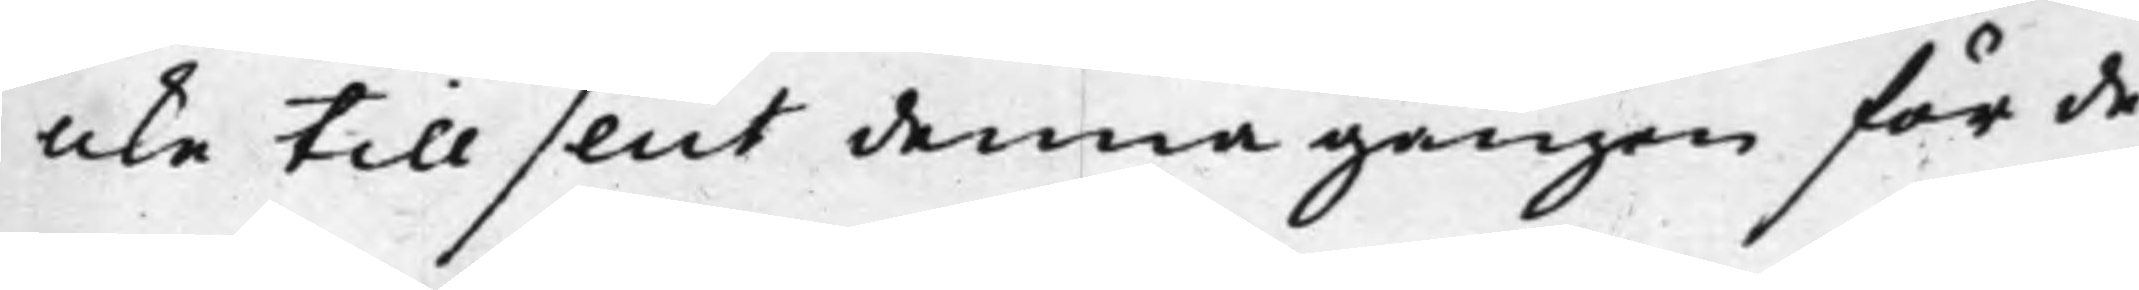icke till slut denna gången för de¬
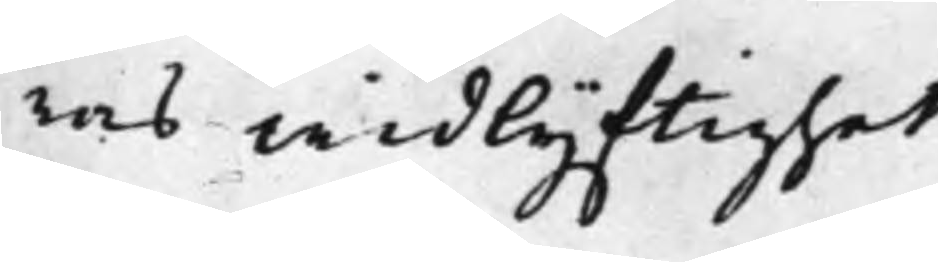ras widlyftighet.
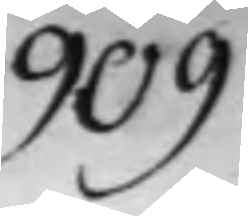909.
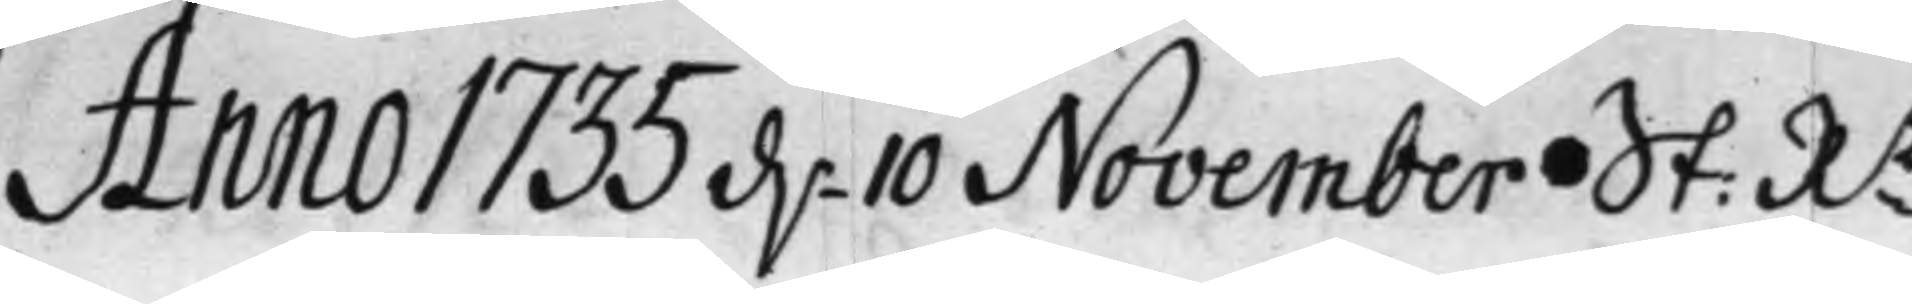Anno 1735 d. 10 November St: Rt
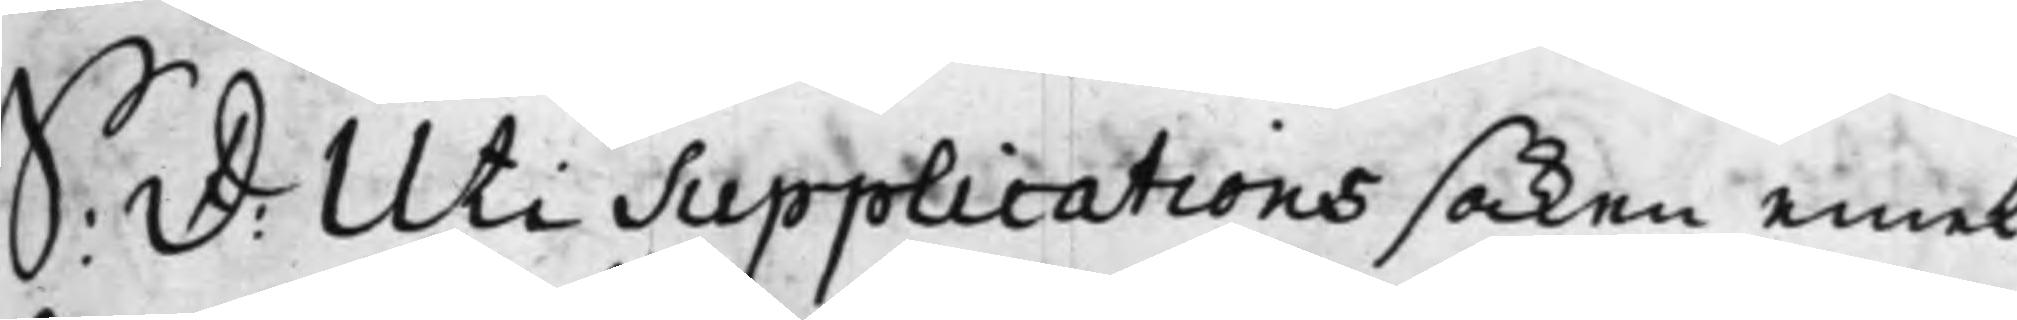S: d: Uti Supplications saken emel¬
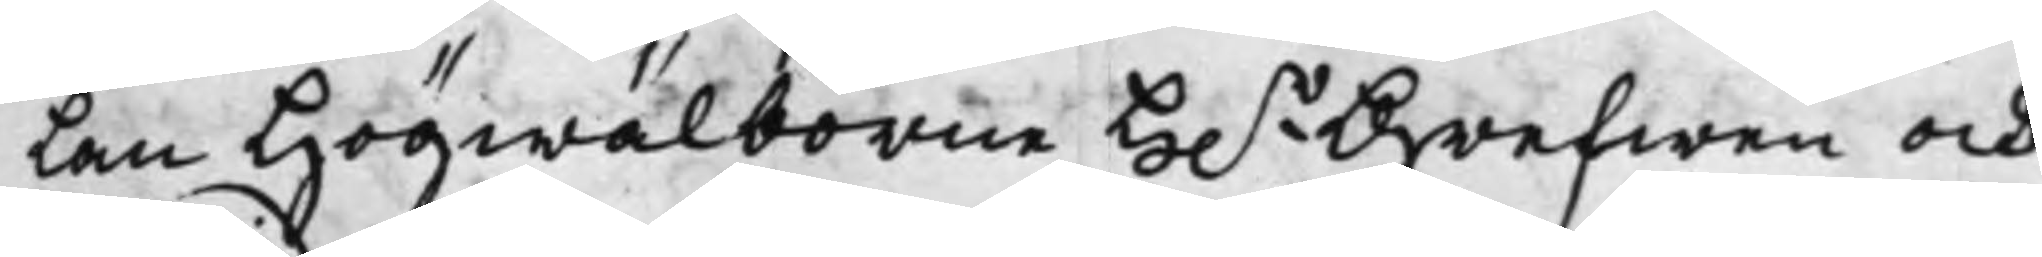lan Högwälborne H.r Grefwen och
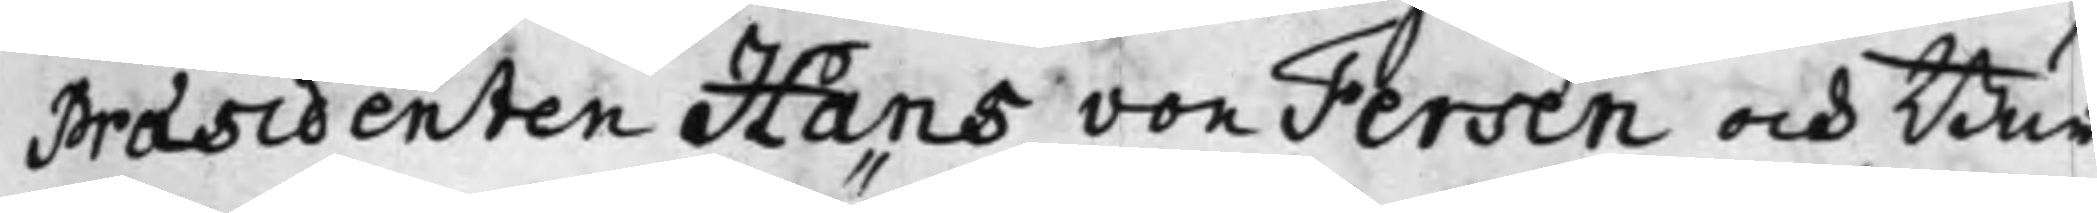Praesidenten Hans von Fersen och Bur¬
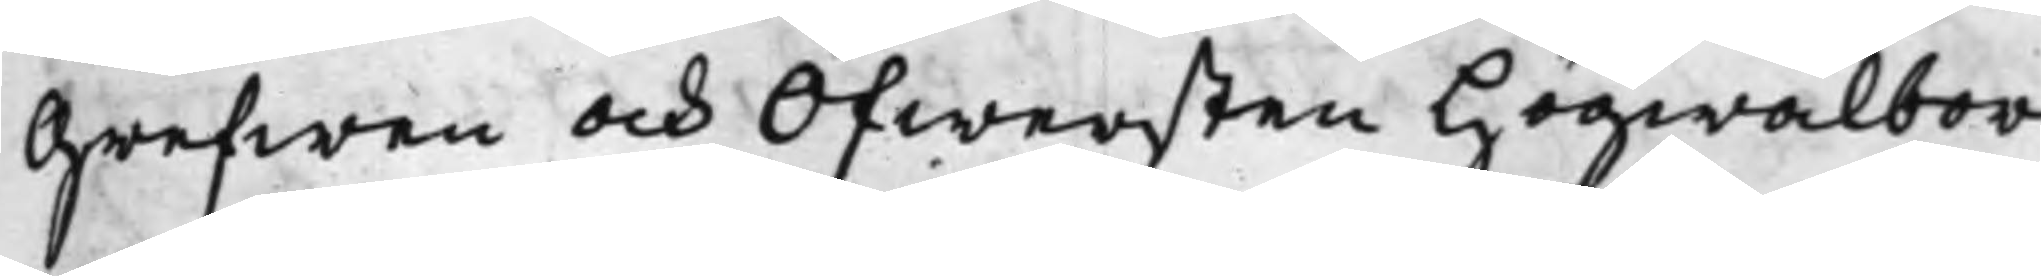grefwen och Öfwersten Högwälbor¬
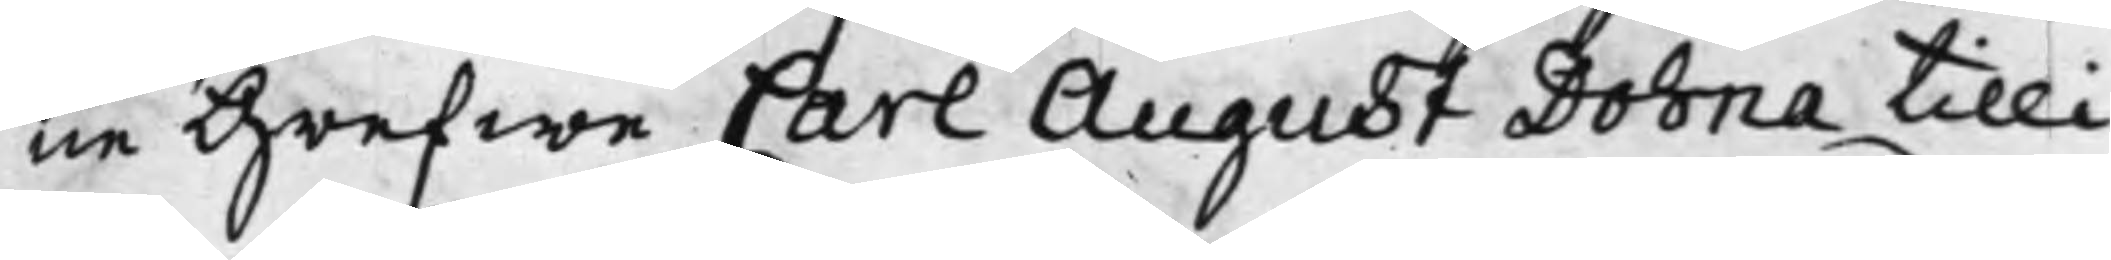ne Grefwe Carl August Dohna tilli¬
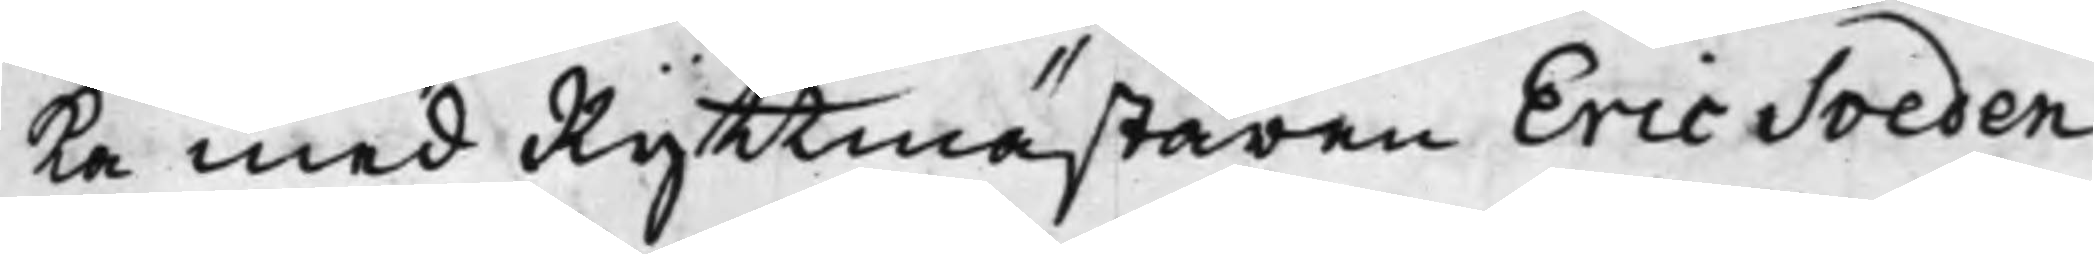ka med Ryttmästaren Eric Sveden¬
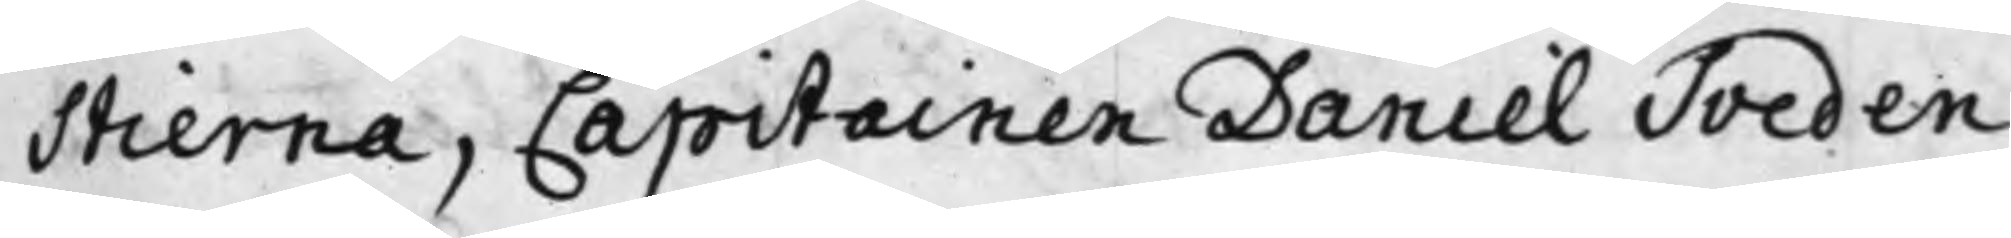stierna, Capitainen Daniel Sveden¬
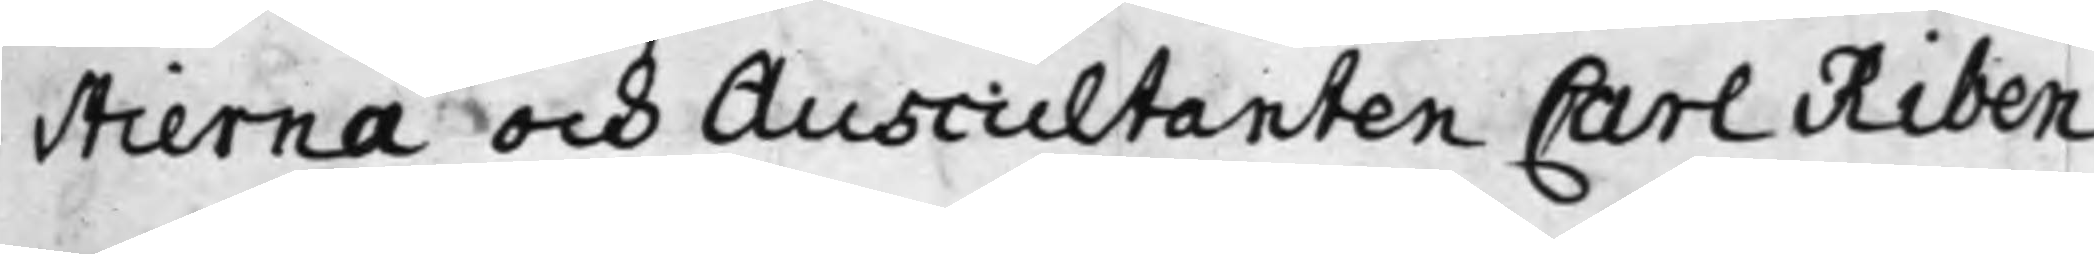stierna och Auscultanten Carl Riben
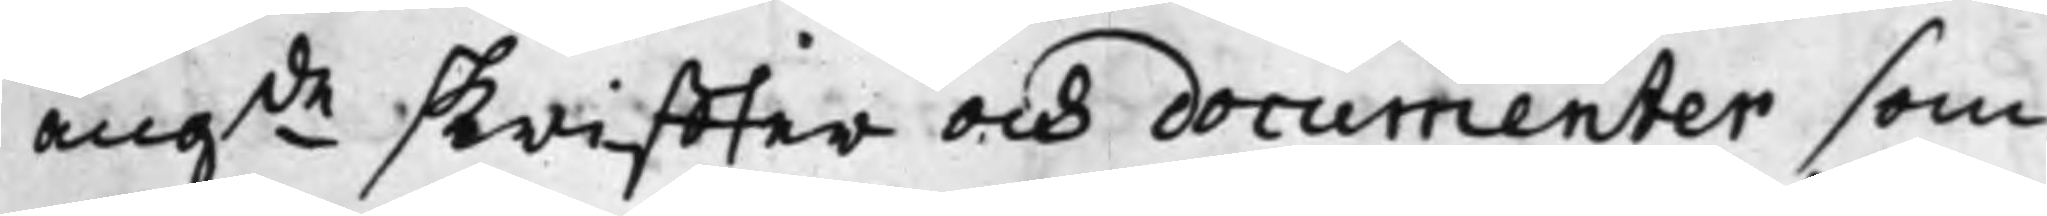angde skriffter och documenter som
